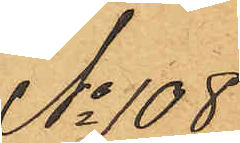No 108
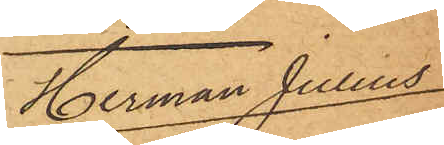Herman Julius
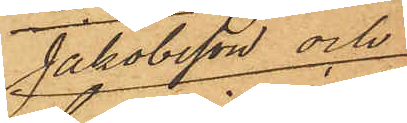Jakobsson och
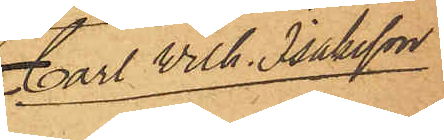Carl Wilh. Isaksson
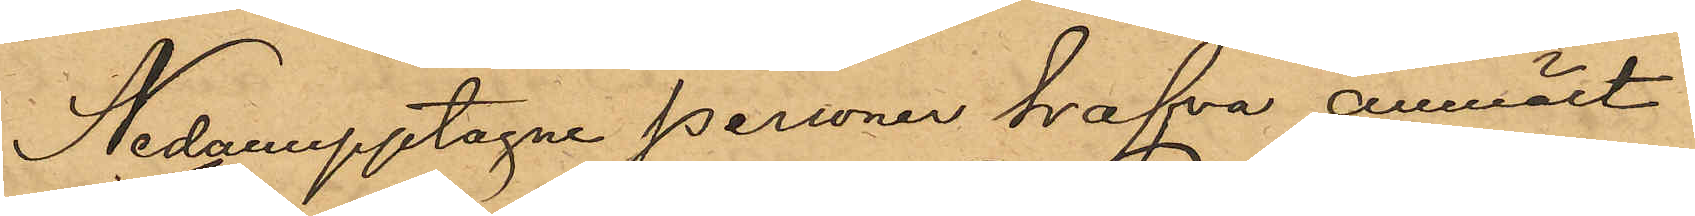Nedanupptagne personer hafva anmält:
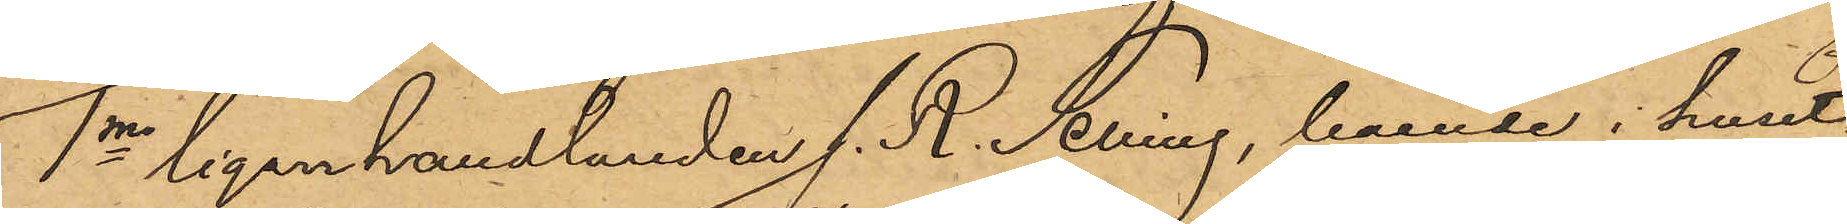1o Cigarrhandlanden J. R. Selling, boende i huset
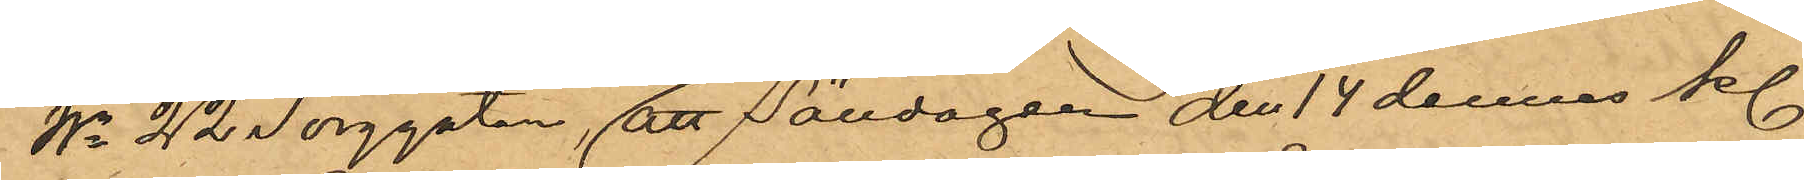No 22 Torggatan, att Söndagen den 14 dennes kl.
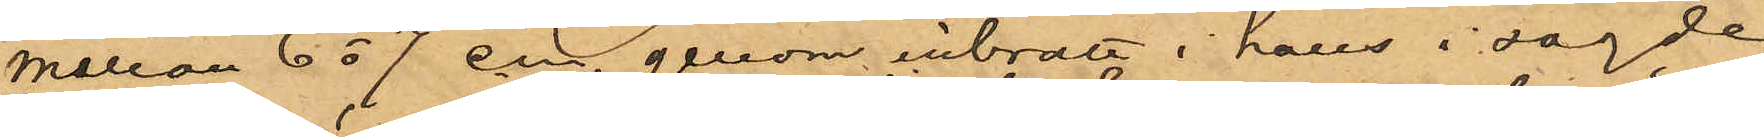mellan 6 o 7 em. genom inbrott i hans i sagde
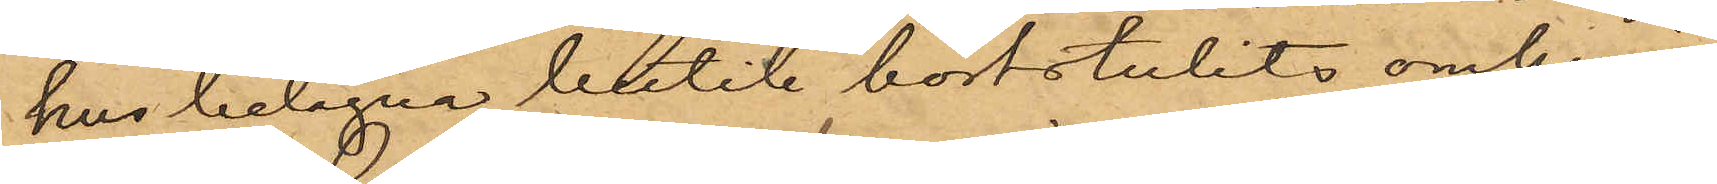hus belägna butik bortstulits omkring
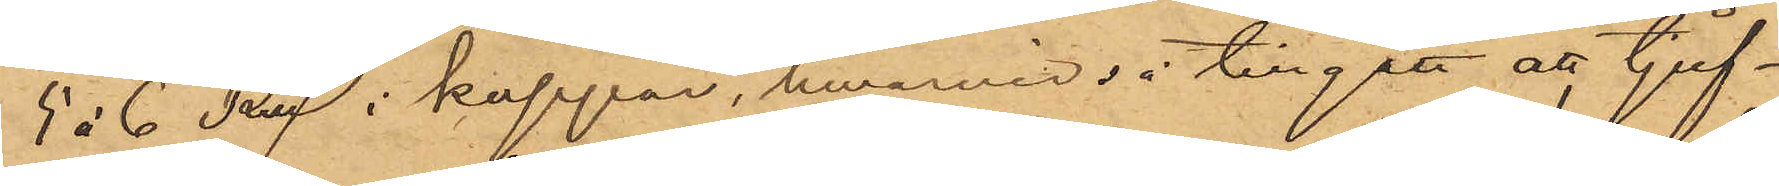5 à 6 Rdr i koppar, hwarvid så tillgått att tjuf¬
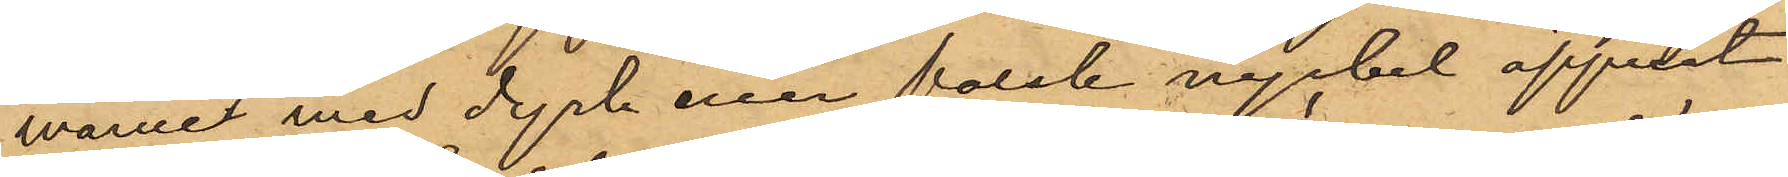varne med dyrk eller falsk nyckel öppnat
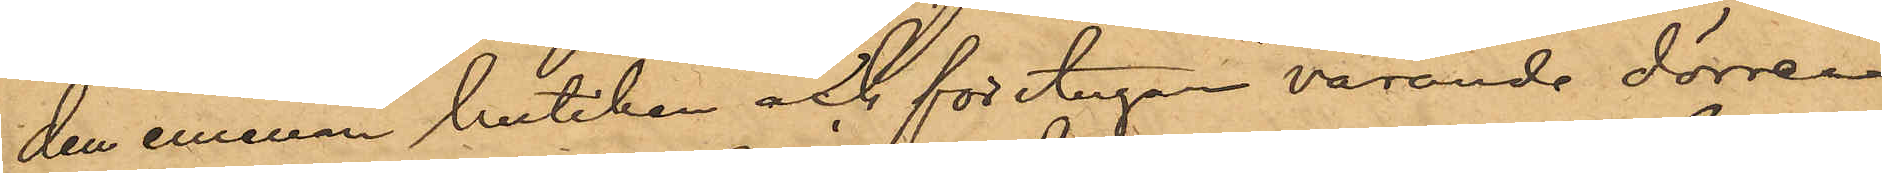den emellan butiken och förstugan varande dörren
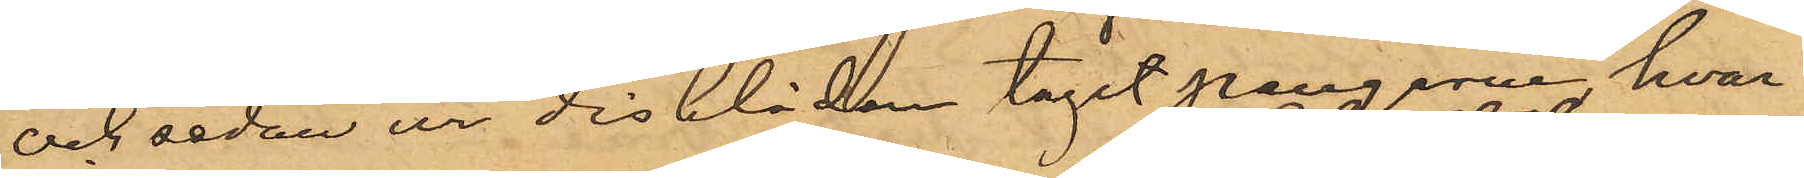och sedan ur disklådan tagit pengarne hvar¬
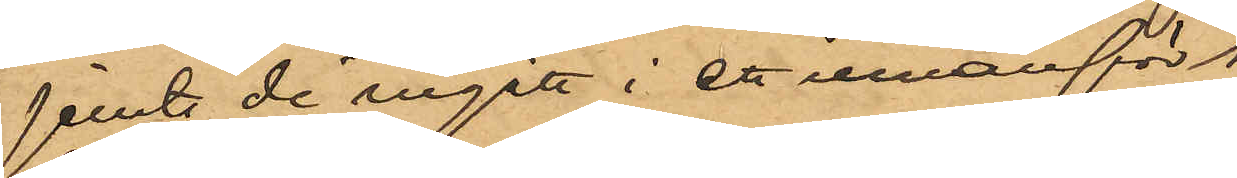jemte de ingått i ett innanför
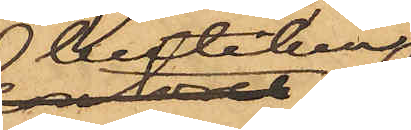butiken
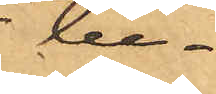be¬
